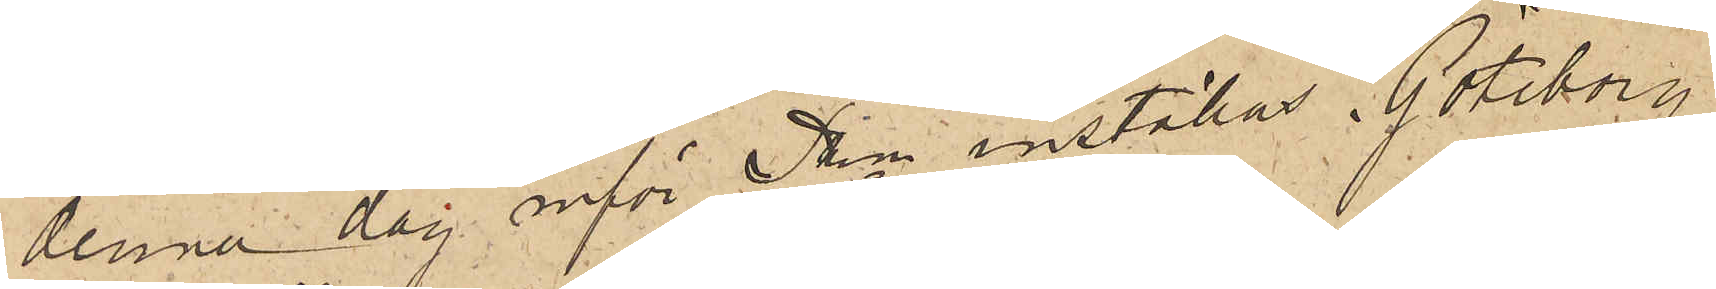denna dag inför Pkn inställas. Göteborg
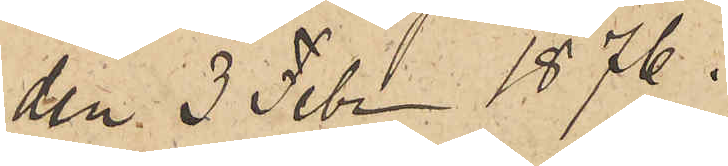den 3 Febr 1876.
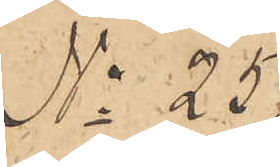No 25.
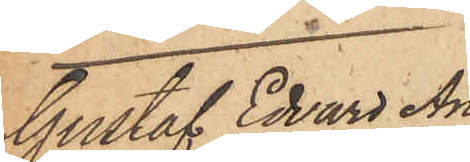Gustaf Edvard An¬
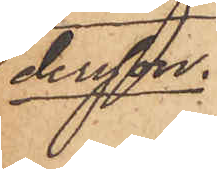dersson
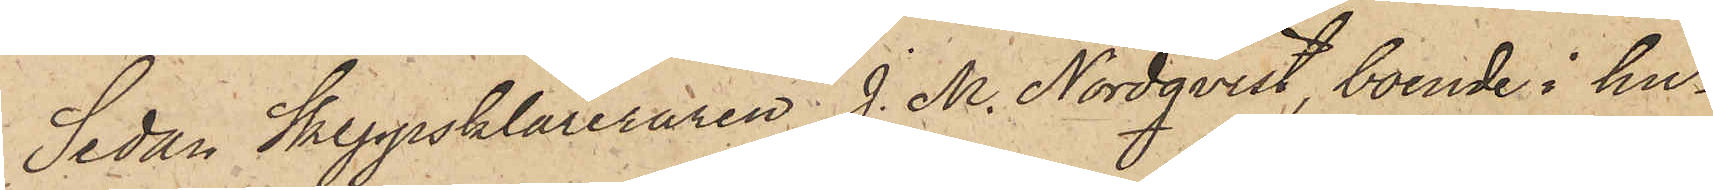Sedan Skeppsklareraren J. M. Nordqvist, boende i hu¬
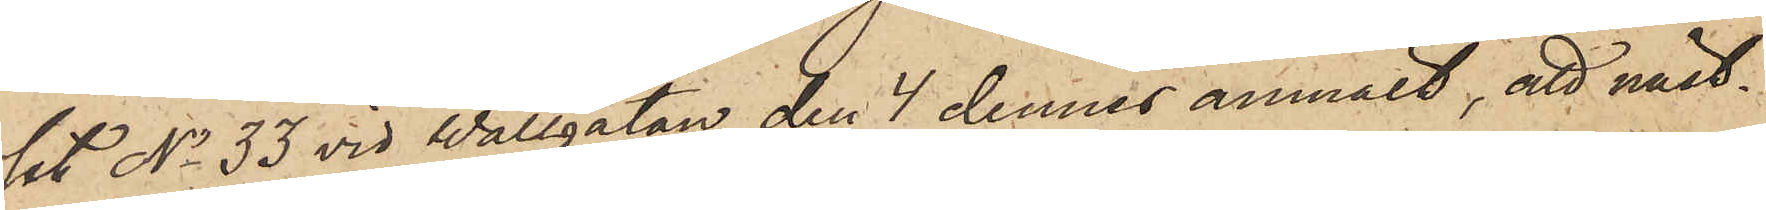set No 33 vid Wallgatan den 4 dennes anmält, att näst¬
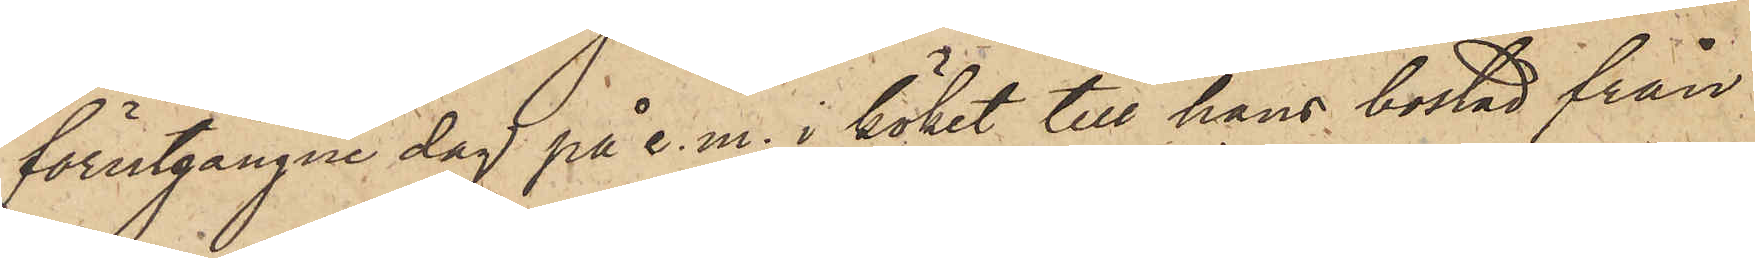förutgångne dag på e. m. i köket till hans bostad från
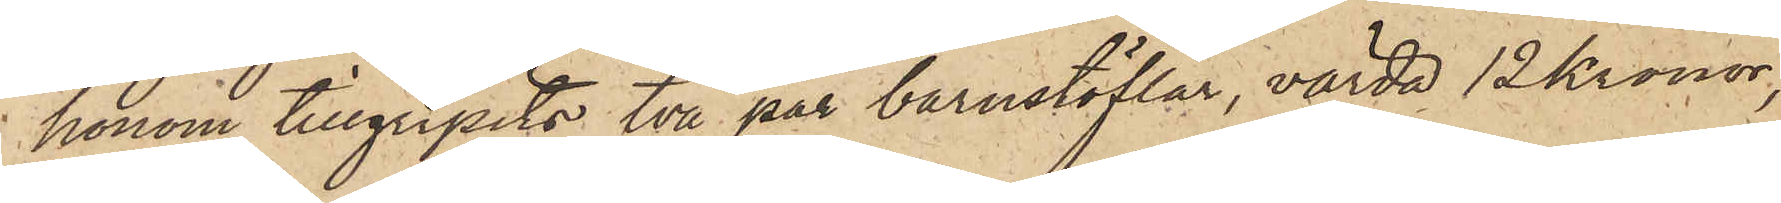honom tillgripits två par barnstöflar, värda 12 Kronor,
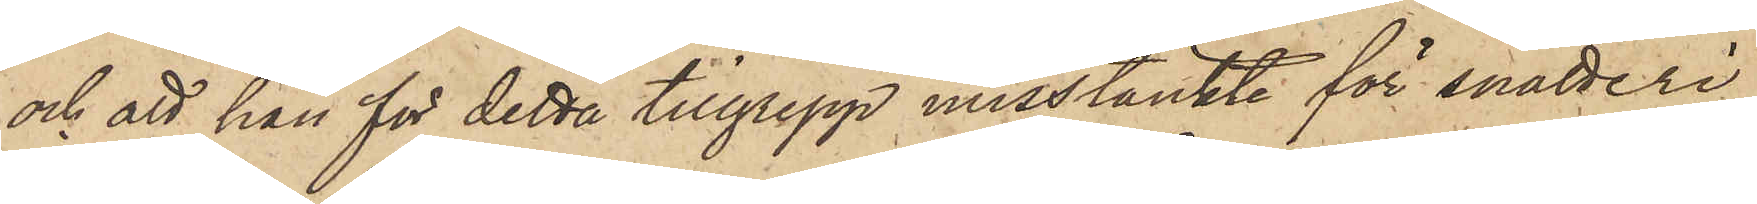och att han för detta tillgrepp misstänkte för snatteri
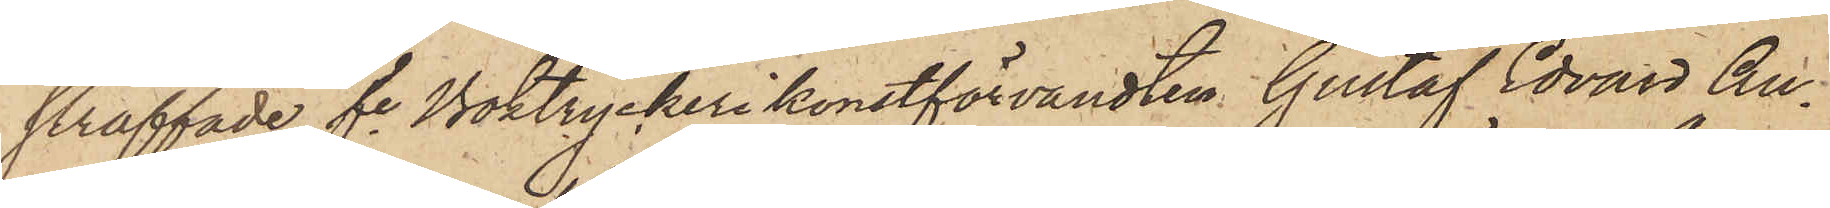straffade fre Boktryckerikonstförvandten Gustaf Edvard An¬
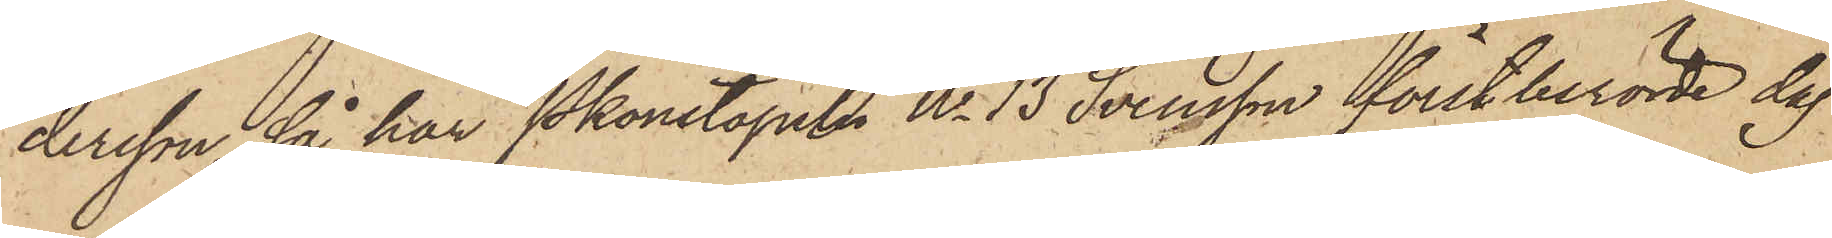dersson, så har Pkonstapeln No 13 Svensson förstberörde dag
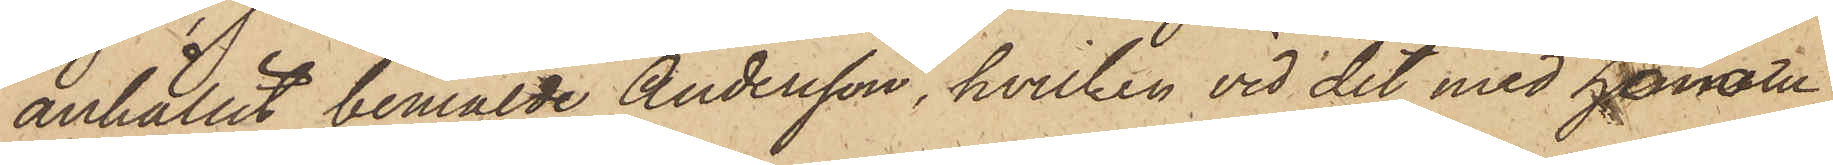anhållit bemälde Andersson, hvilken vid det med honom
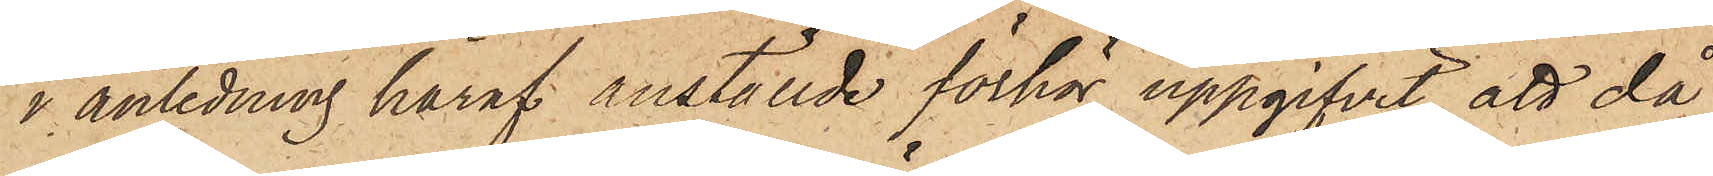i anledning häraf anställde förhör uppgifvit, att då
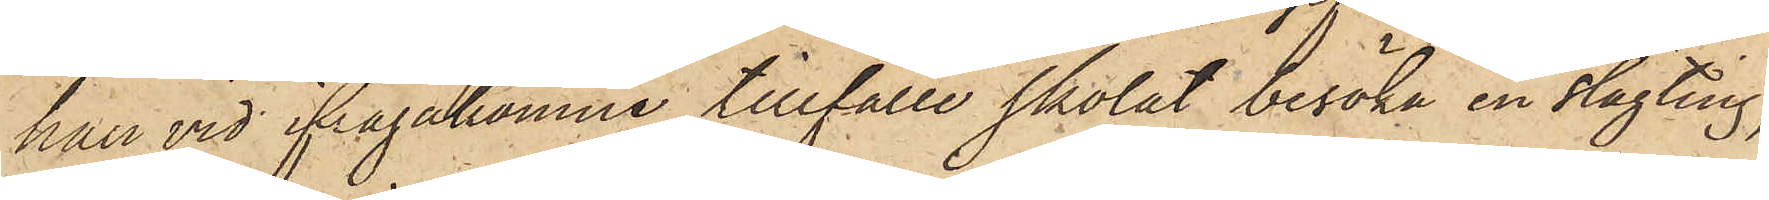han vid ifrågakomne tillfälle skolat besöka en slägting,
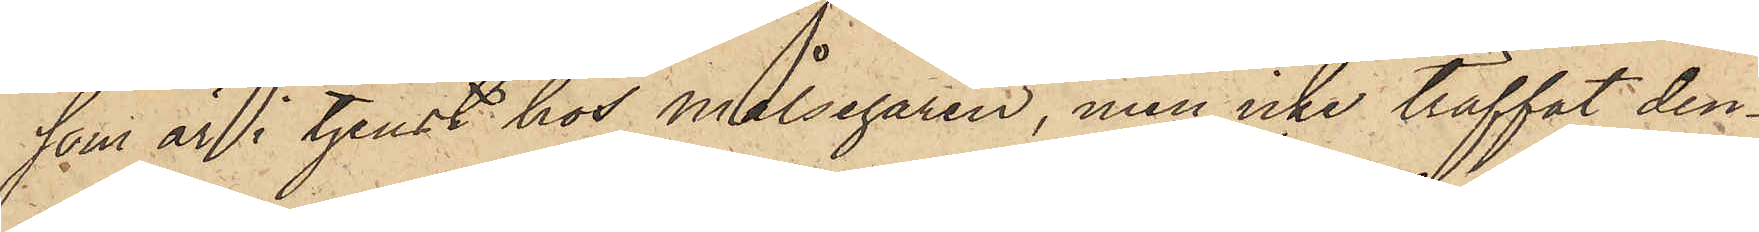som är i tjenst hos målsegaren, men icke träffat den¬
